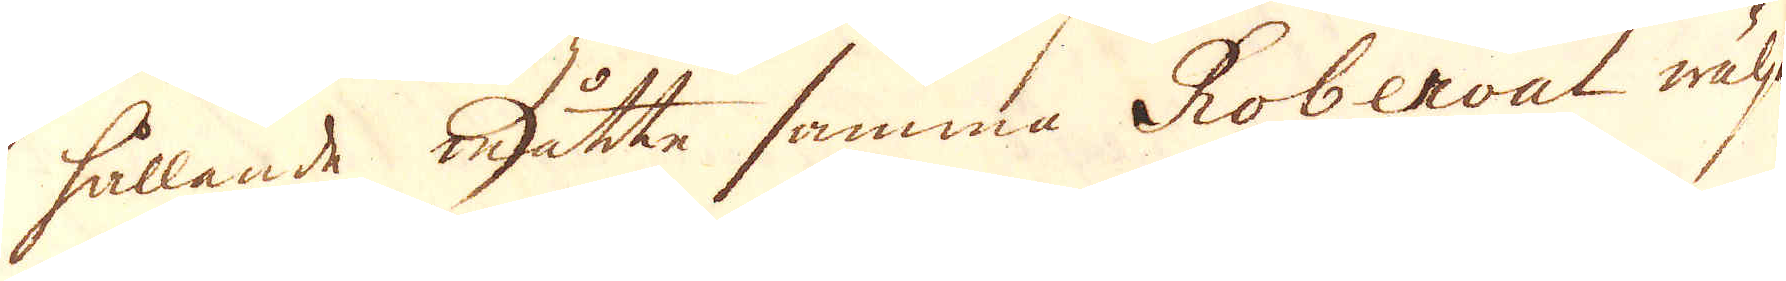hållande måtte samma Roberval wälja
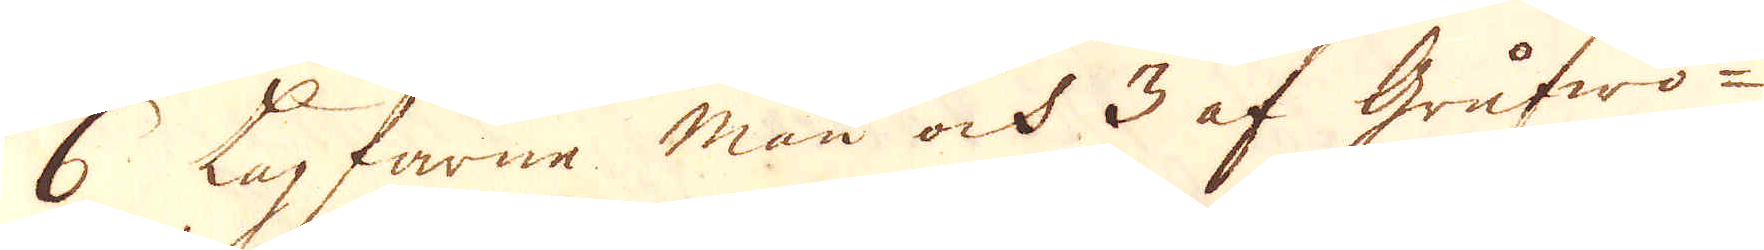6 Lagfarne män ock 3 af Grufwo-
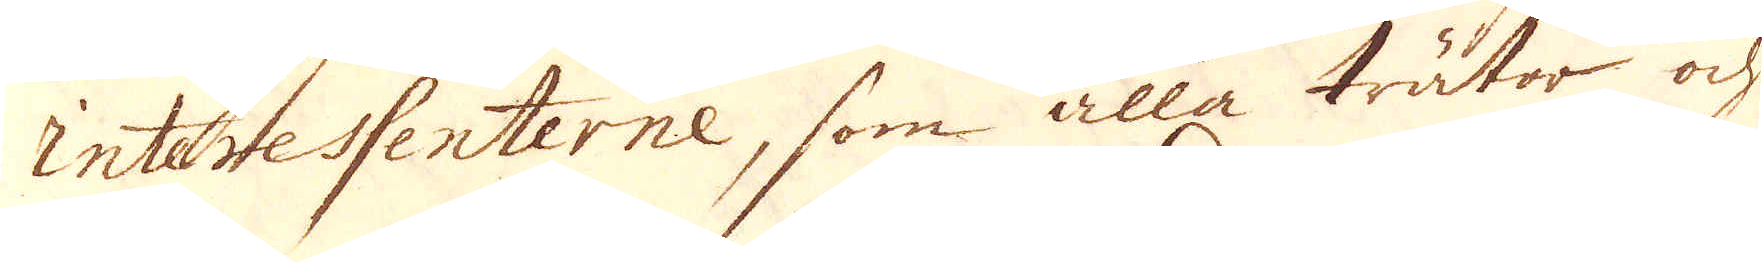interessenterne, som alla trätor och
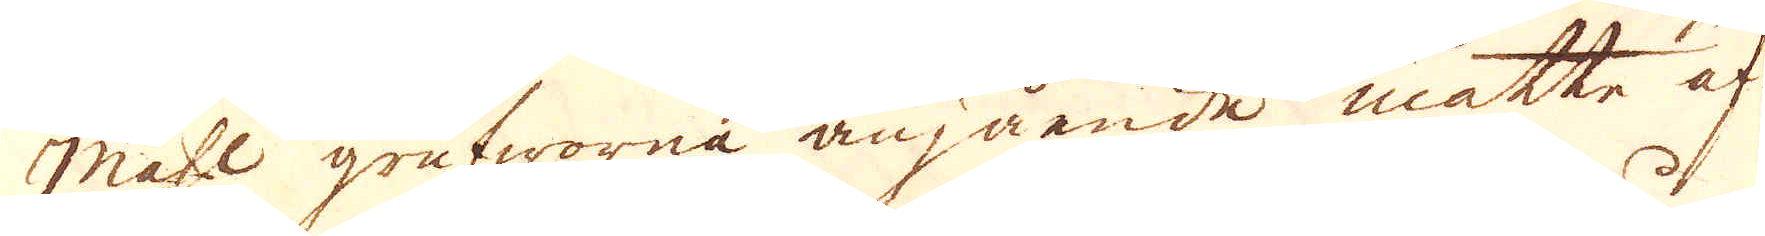måhl grufworna angående måtte af-
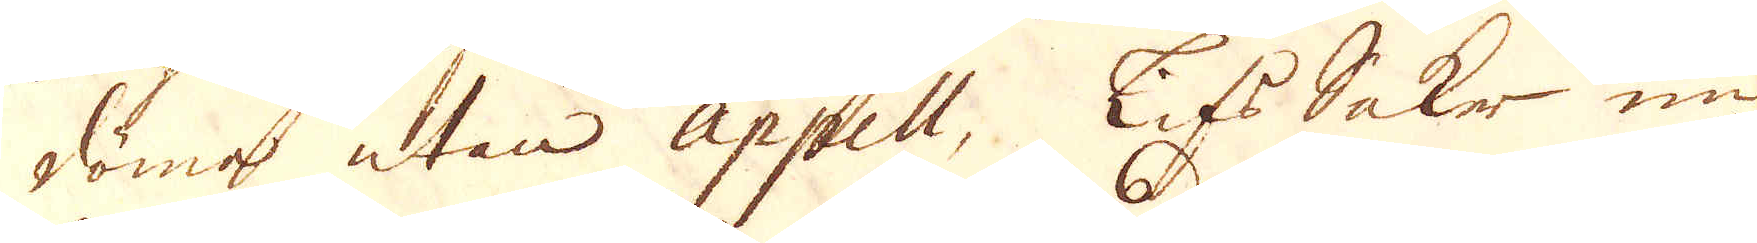döma utan appell, Lifs Saker un-
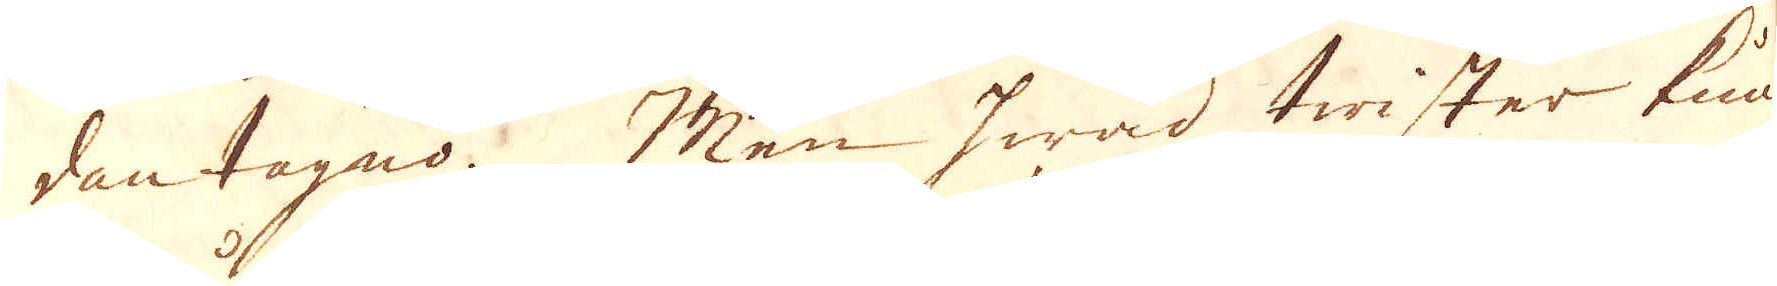dantagno. Men hwad twister kun-
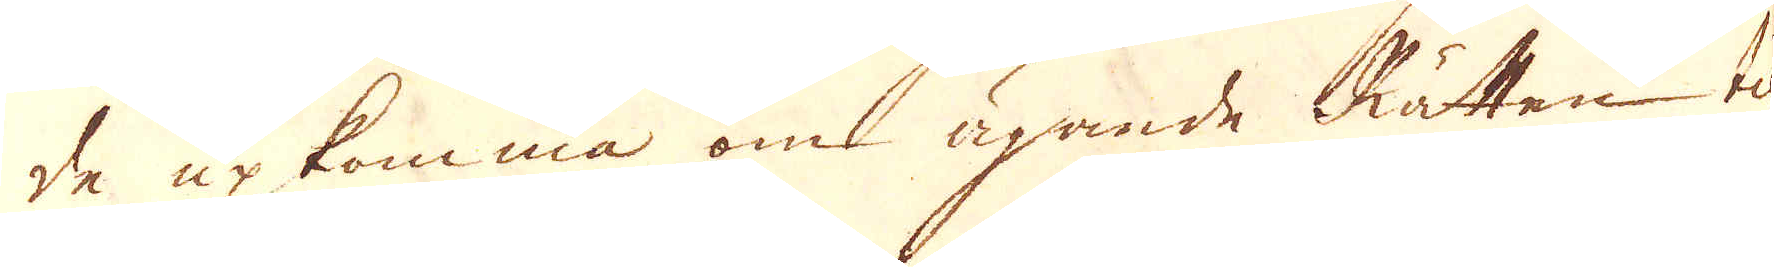de upkomma om ägande Rätten til
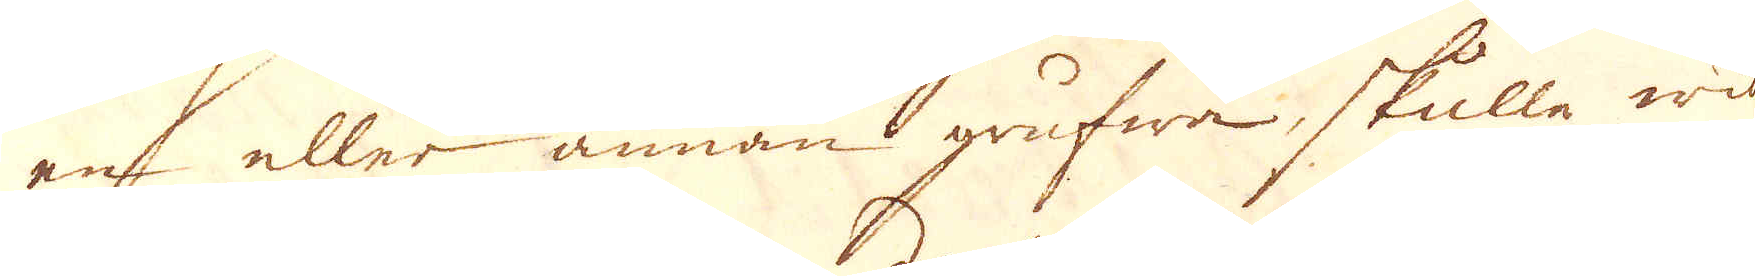en eller annan grufwa, skulle wid
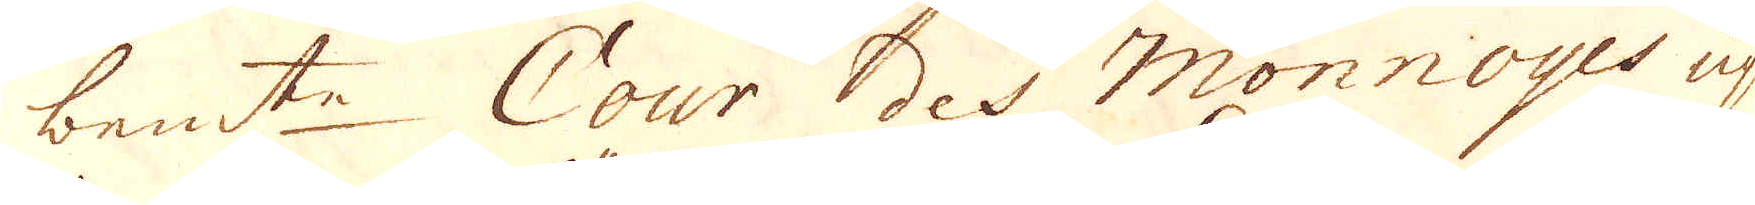bem:te Cour des Monnoyes up-
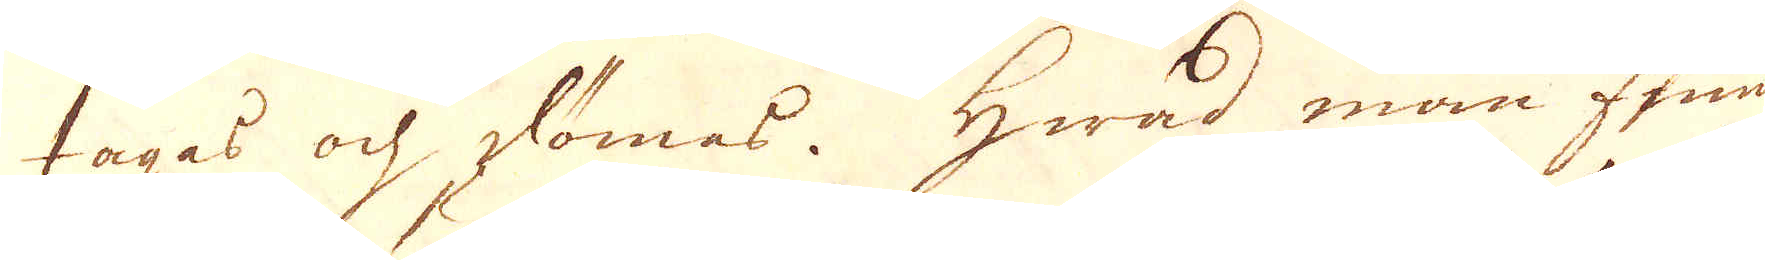tagas och dömas. Hwad man finna
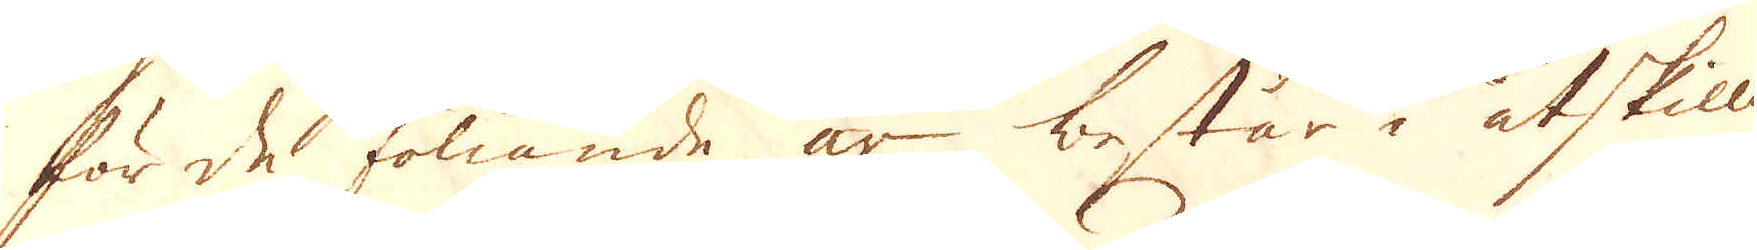för de föliande år besår i åtskilliga
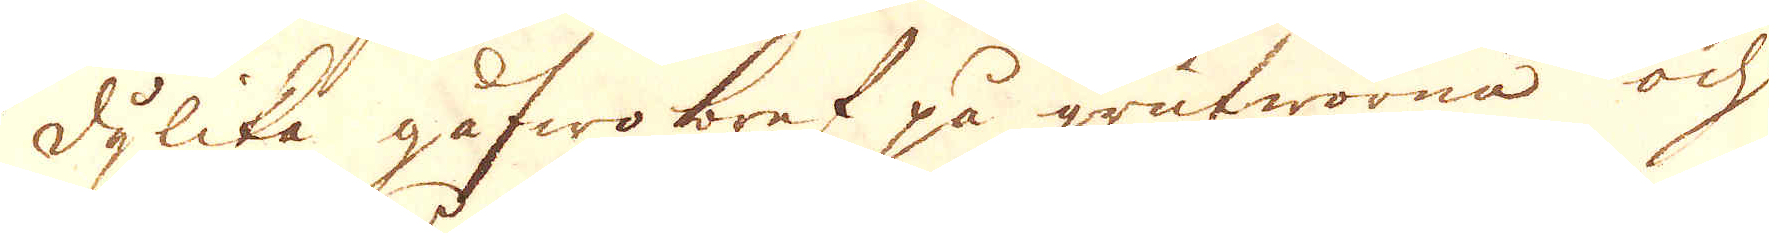dylika gåfwo bref på grufworna och
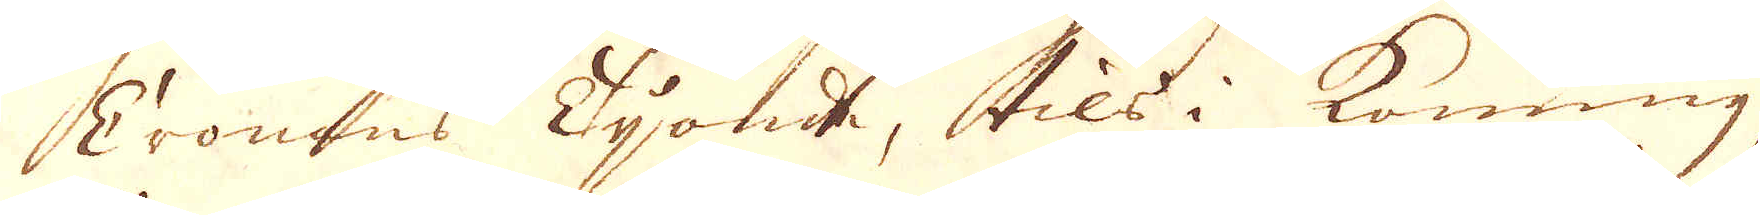Cronans Tijonde, tils i konung
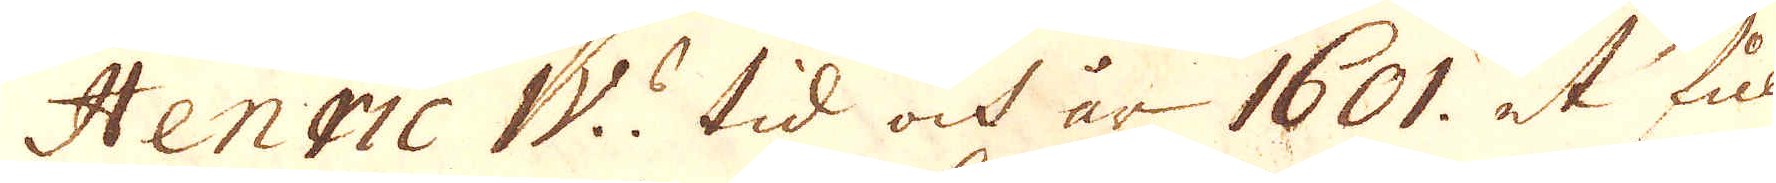Henric IV:s tid och år 1601. at full
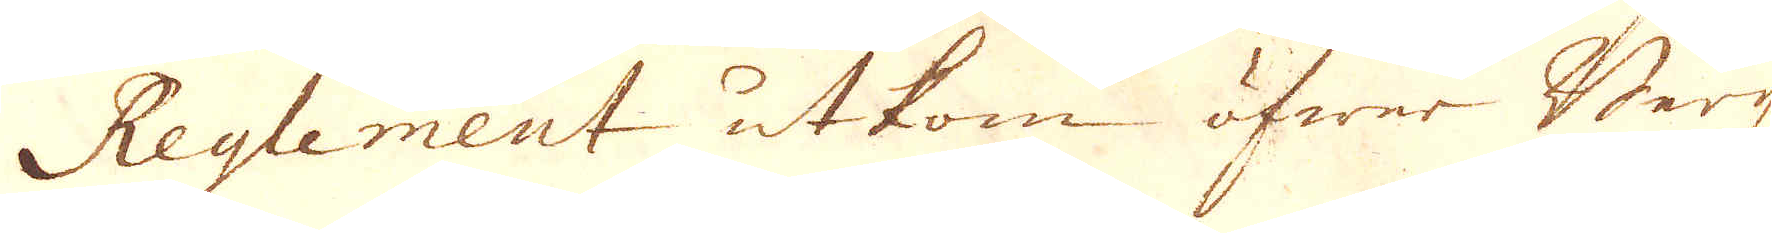Reglement utkom öfwer Bergz-
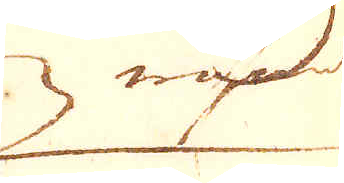wäsen
